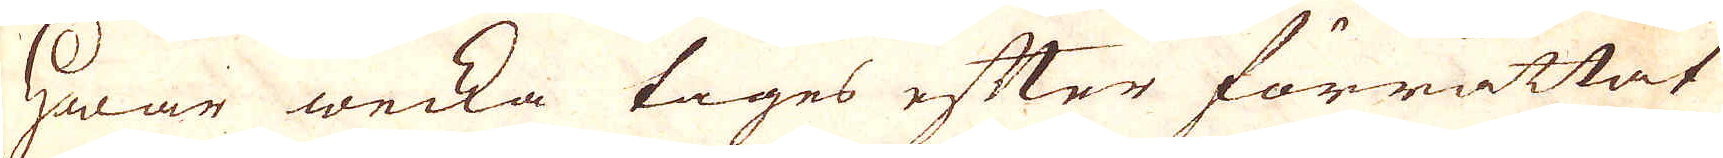Hwar wecka tages efter förrättat
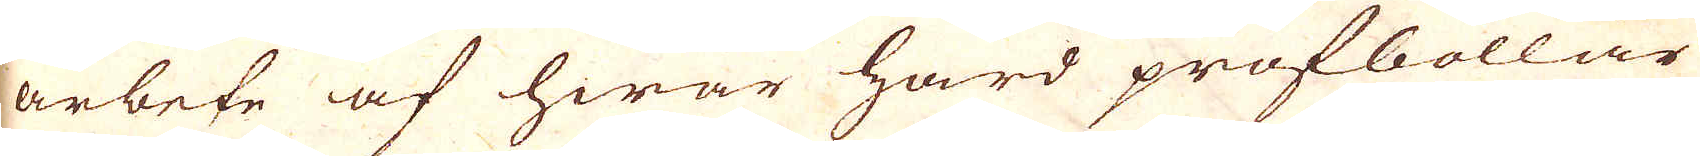arbete af hwar hård profbollar
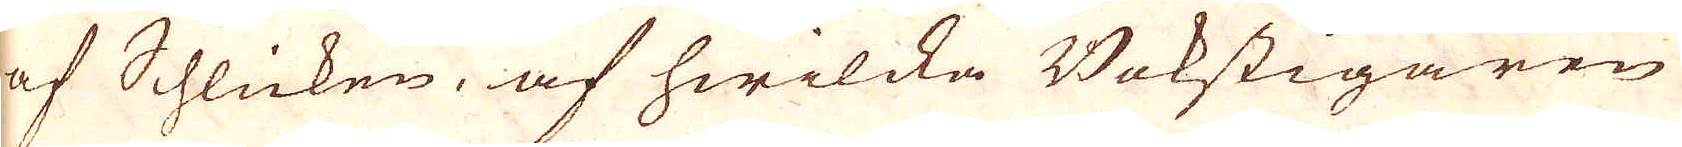af Schlicken, af hwilcka Bokstigaren
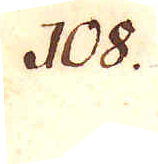108.
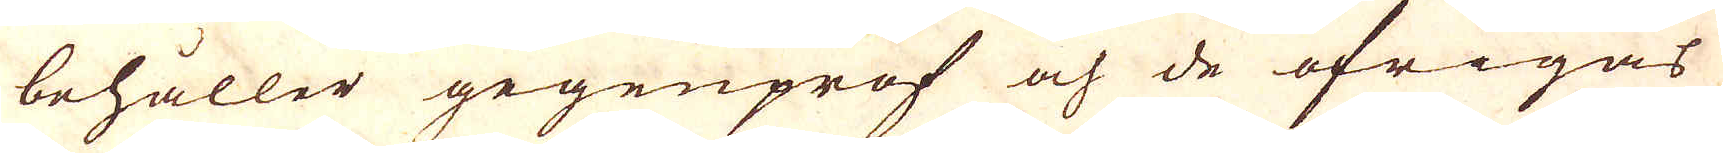behåller gegenprof och de öfrigas
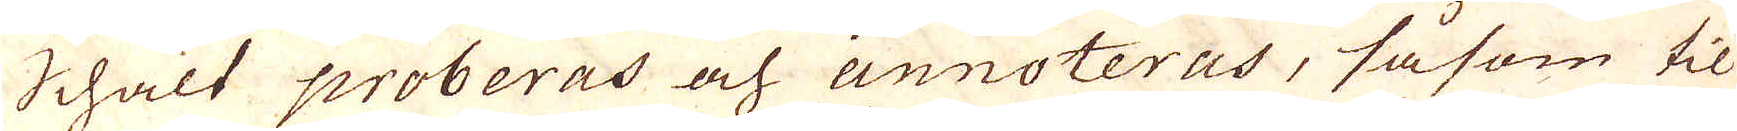Schalt proberas ach annoteras, såsom til
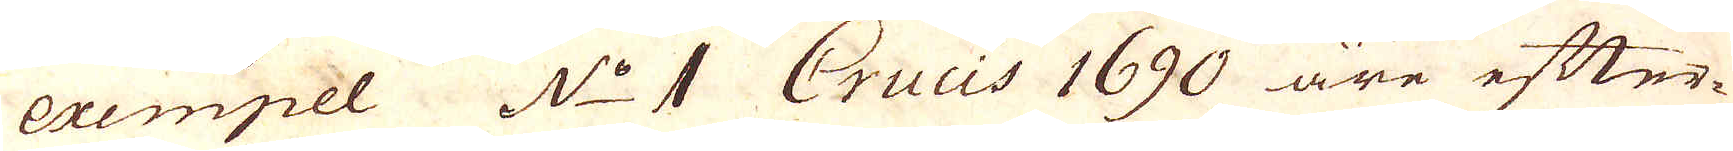exempel N:o 1 Crucis 1690 äre efter-
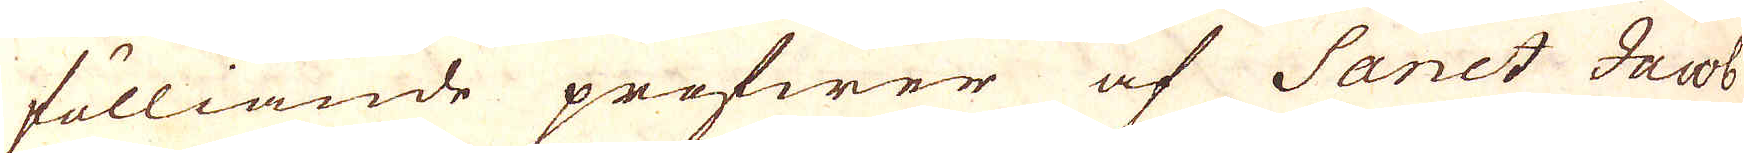fölliande pröfwer af Sanct Jacob
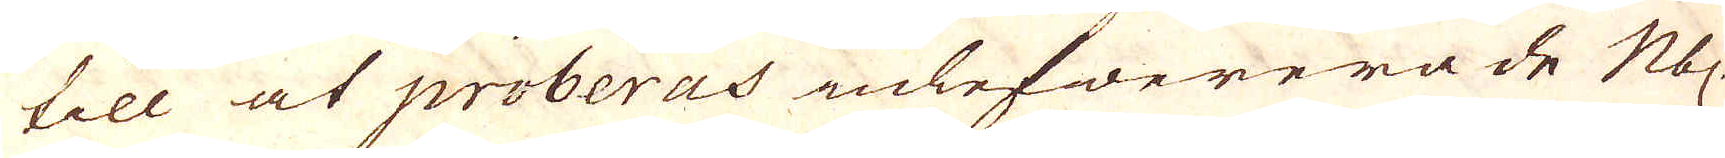till at proberas inlefwererade N:bl
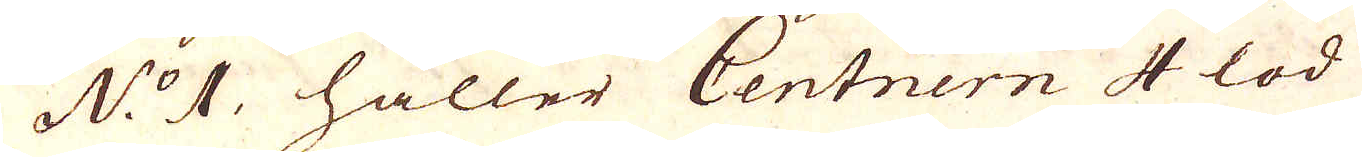N:o 1. håller Centnern 4 lod
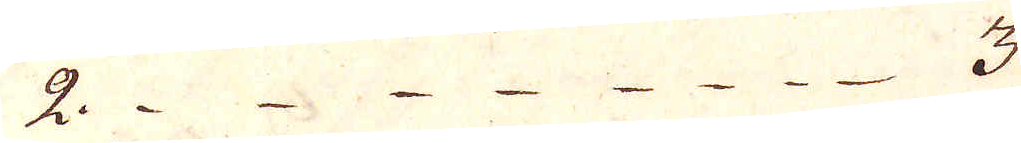2. 3
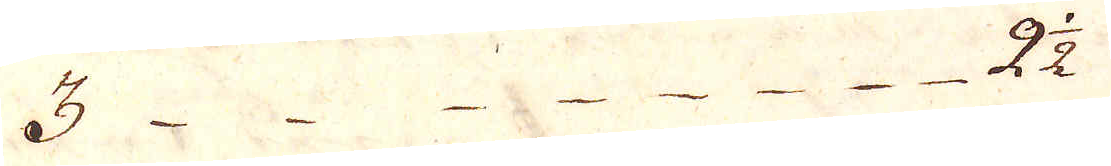3. 2 1/2
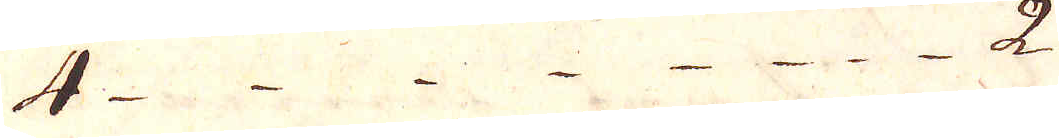4 2
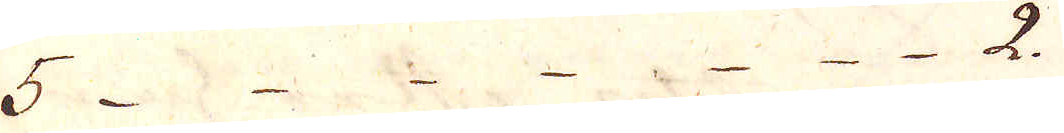5 2.
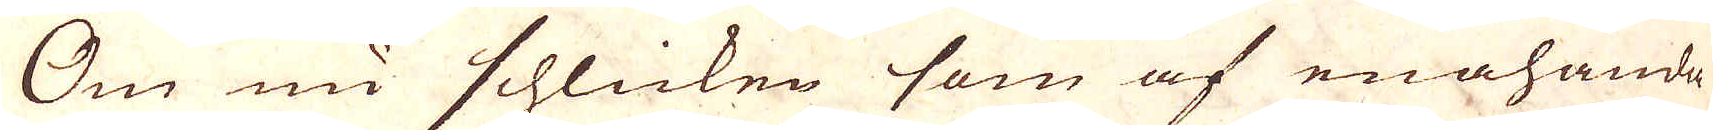Om nu schlicken som af enahanda
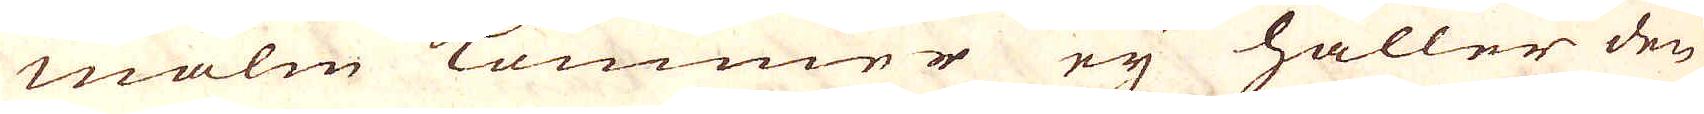malm lummer eij håller den
